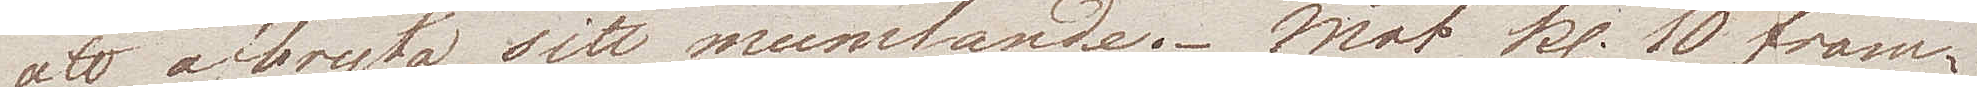att afbryta sitt mumlande. Mot kl. 10 fram¬
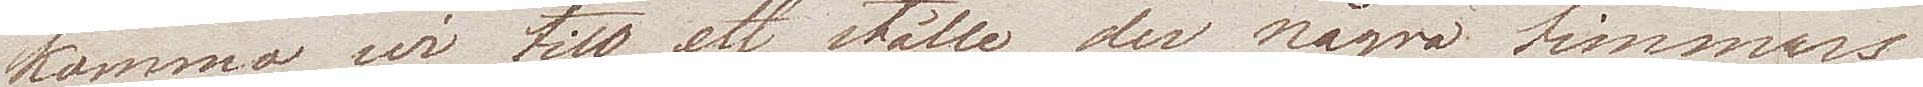kommo wi till ett litet ställe, der några timmars
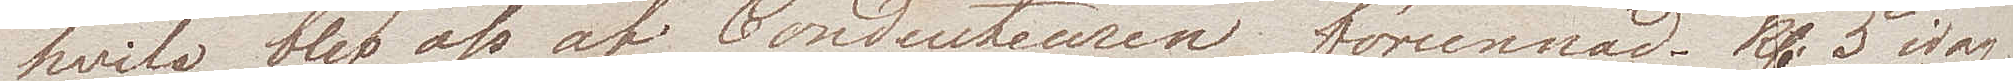hvila blef af Conducteuren förunnad. Kl. 5 idag
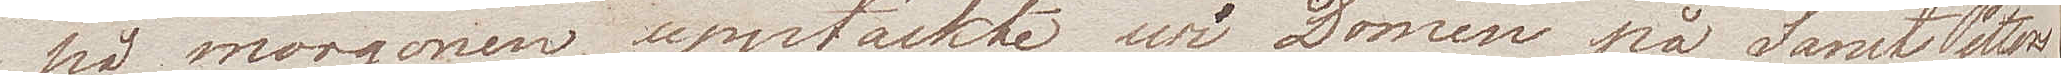på morgonen upptäckte wi Domen på Sant Petters
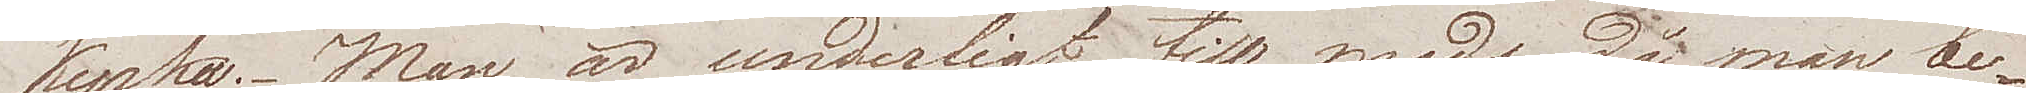kyrka. Man är underligt till mods, då man be¬
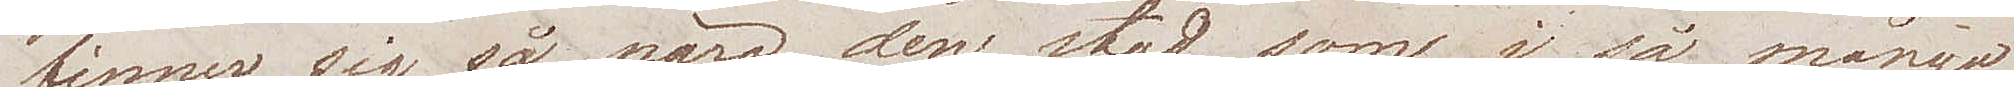finner sig så nära den stad som i så många
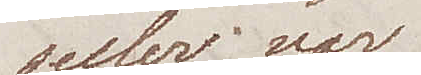sekler var 
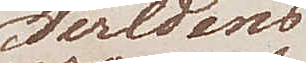Verldens
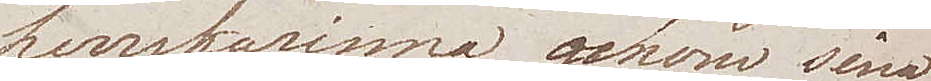herrskarinna, genom sina
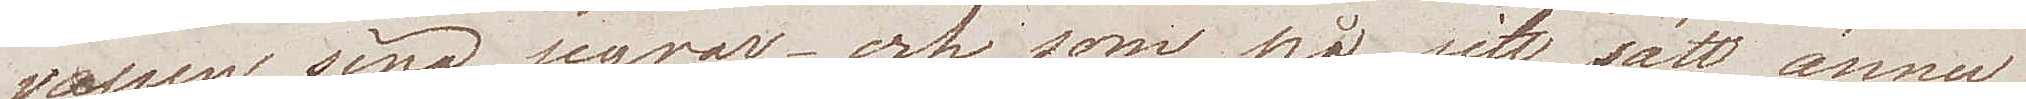vapen, sina segrar – och som på sitt sätt ännu
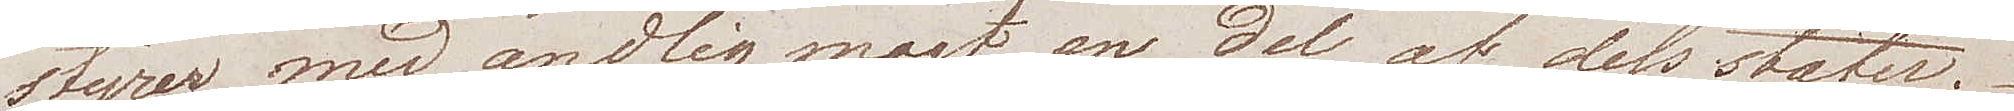styrer med andlig magt en del af dess stater.
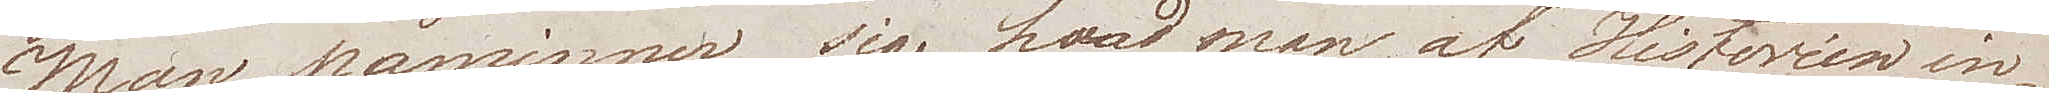Man påminner sig hvad man af Historien in¬
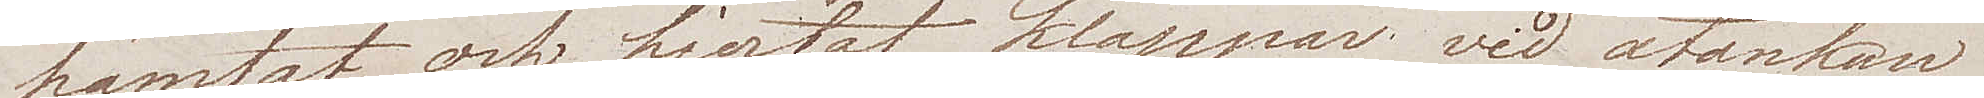hämtat, och hjertat klappar wid åtanken
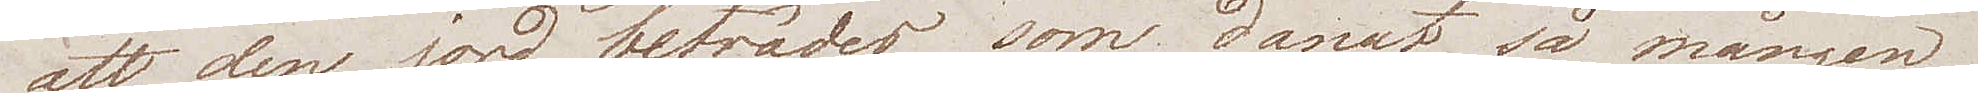att den jord beträder som danat så mången
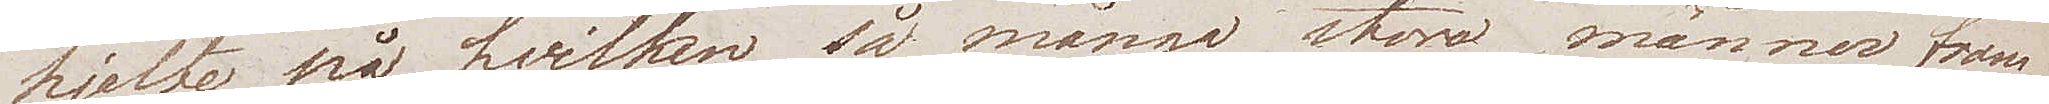hjelte på hvilken så många stora männer fram¬
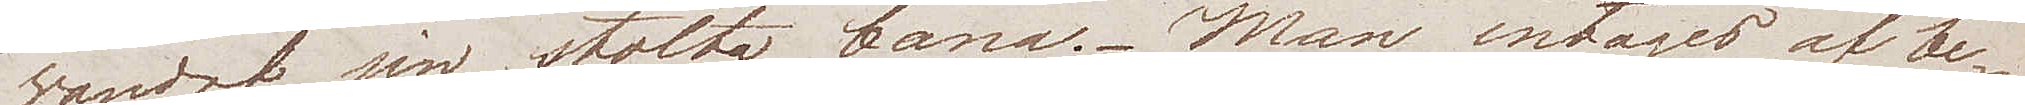wandrat sin stolta bana. Man intages af be¬
